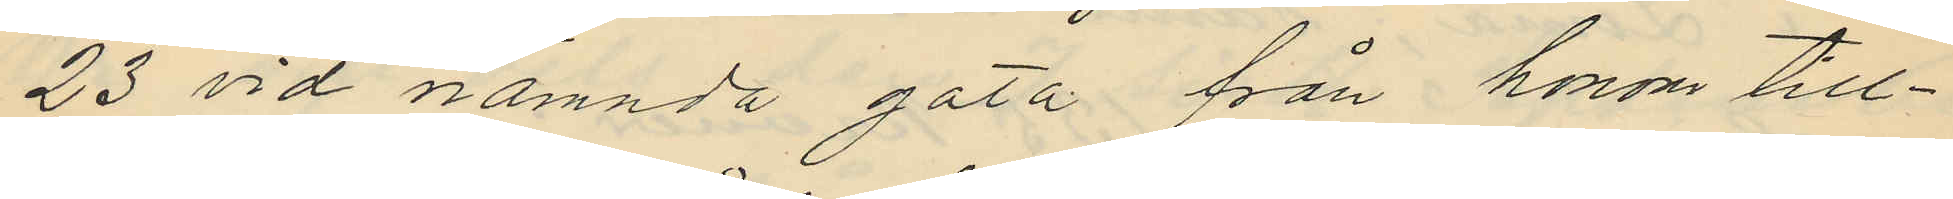23 vid nämnda gata från honom till¬
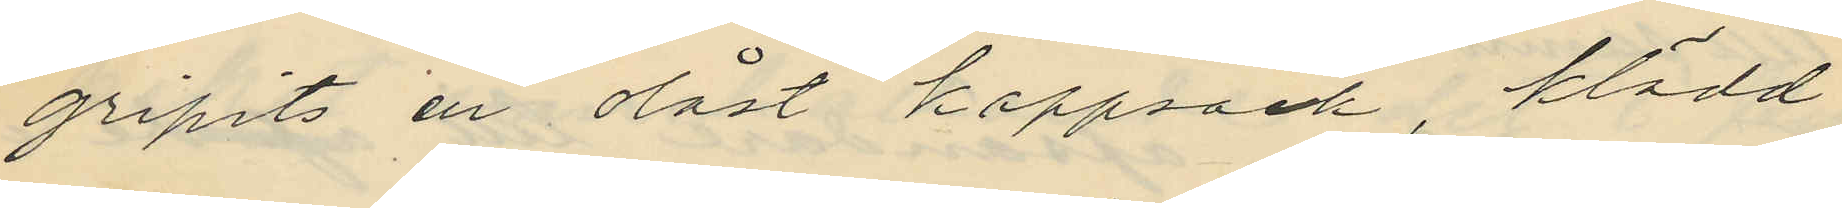gripits en olåst kappsäck, klädd
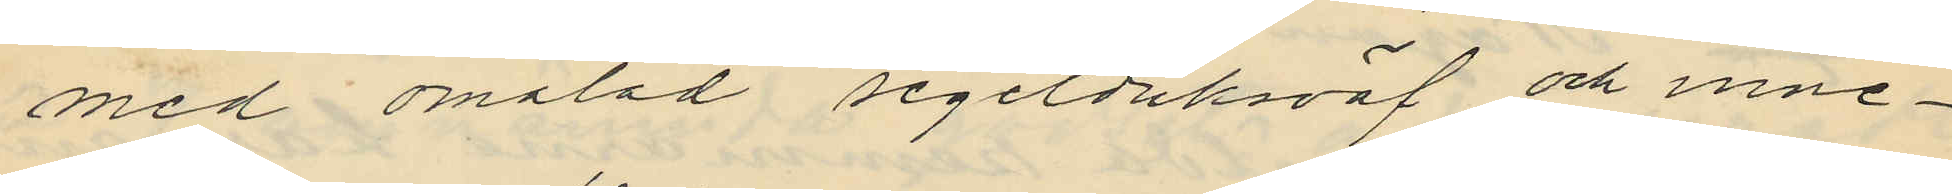med omålad segelduksväf och inne¬
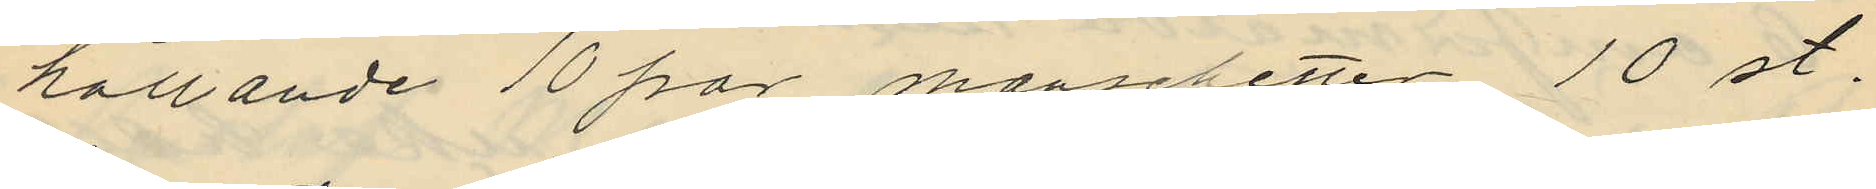hållande 10 par manschetter 10 st.
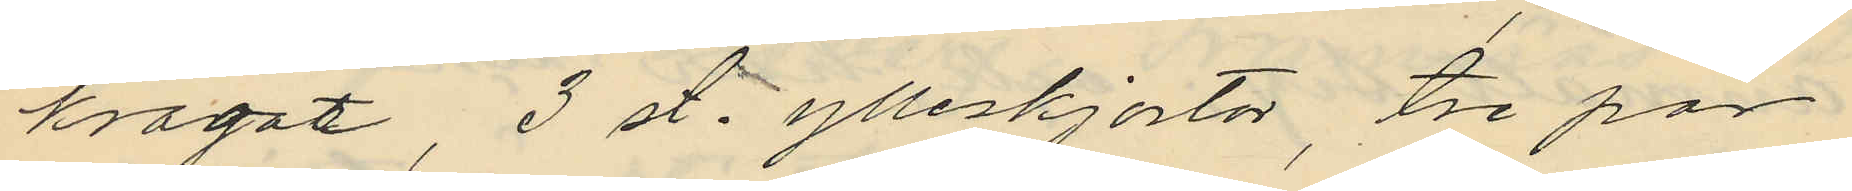kragar, 3 st. ylleskjortor, tre par
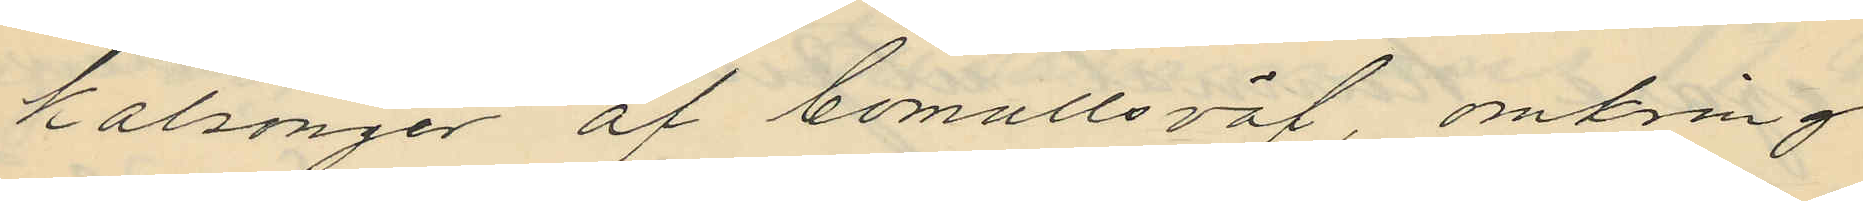kalsonger af bomullsväf, omkring
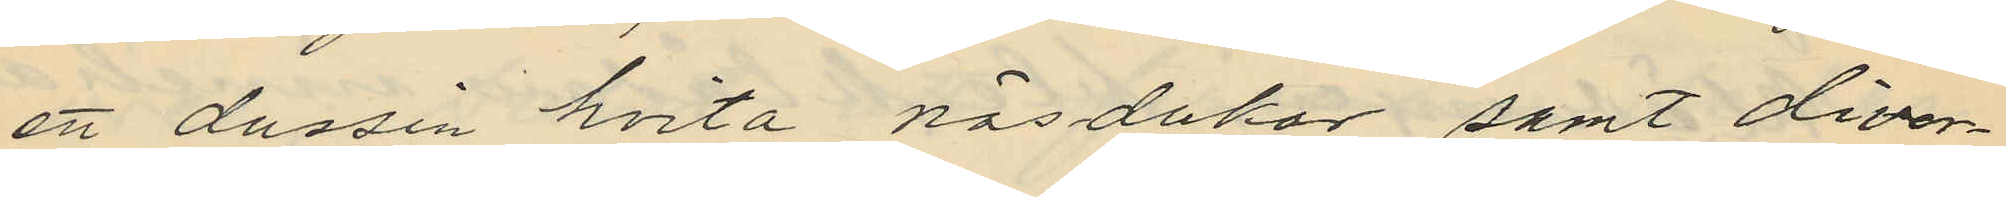ett dussin hvita näsdukar samt diver¬
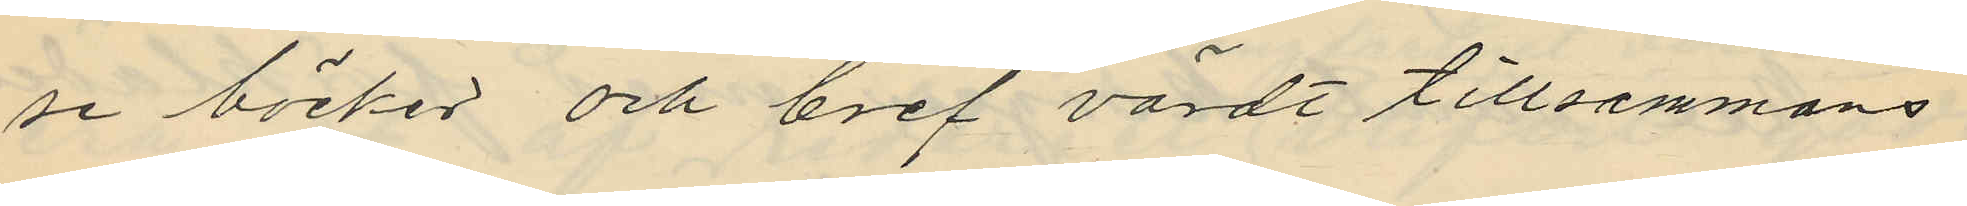se böcker och bref värdt tillsammans
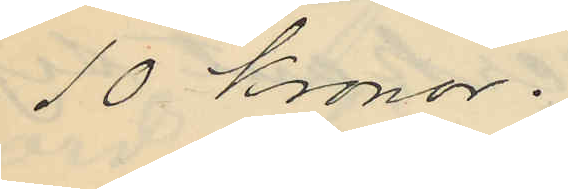10 Kronor.
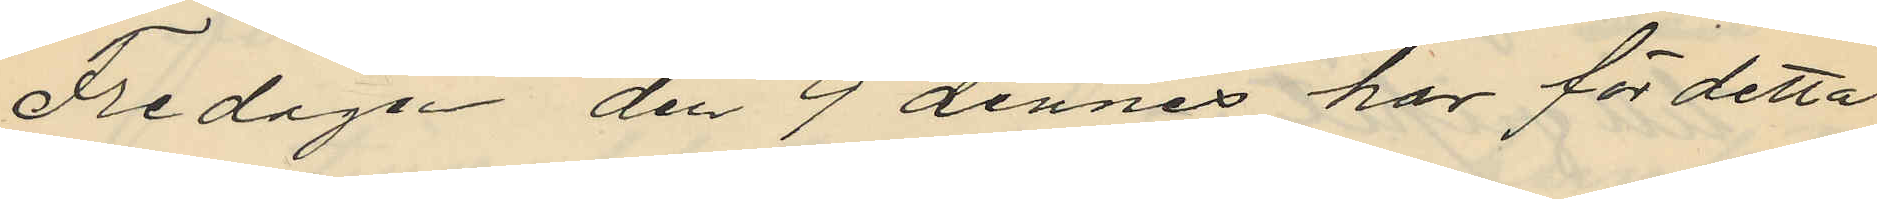Fredagen den 9 dennes har för detta
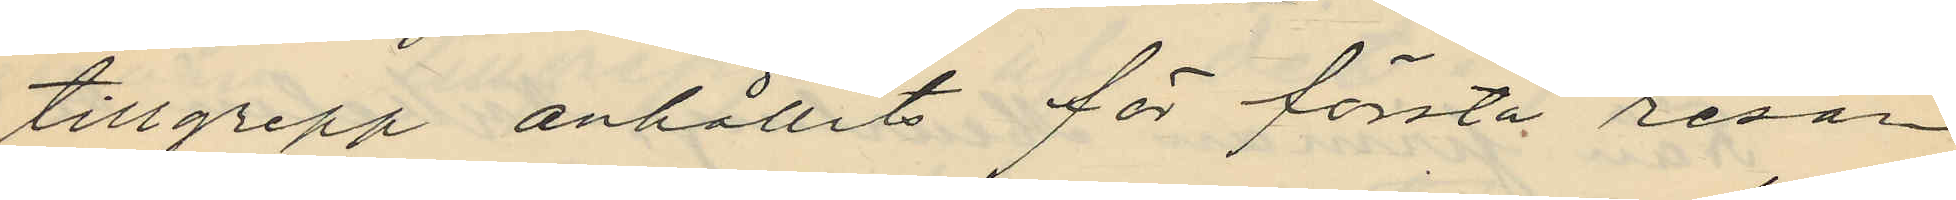tillgrepp anhållits för första resan
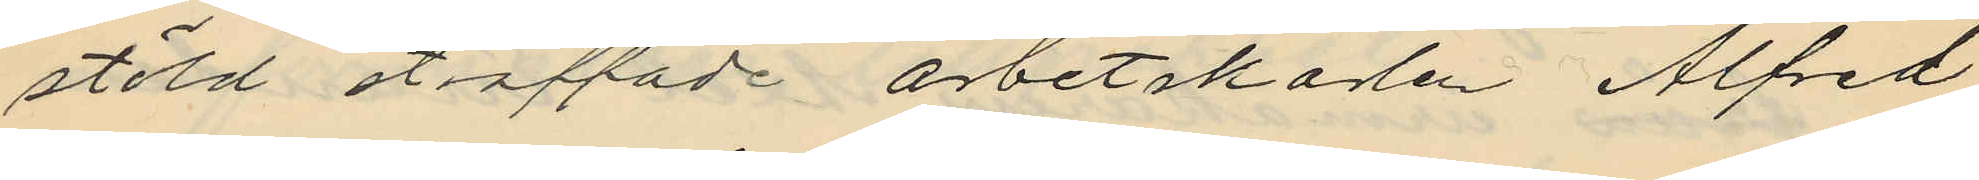stöld sträffade arbetskarlen Alfred
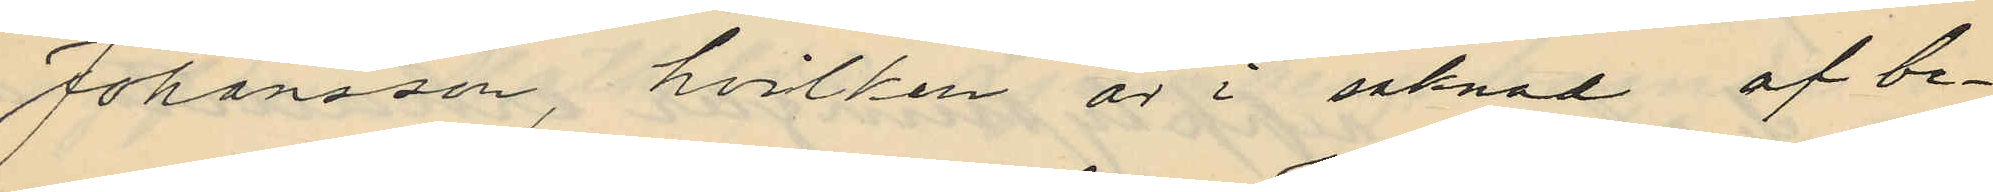Johansson, hvilken är i saknad af be¬
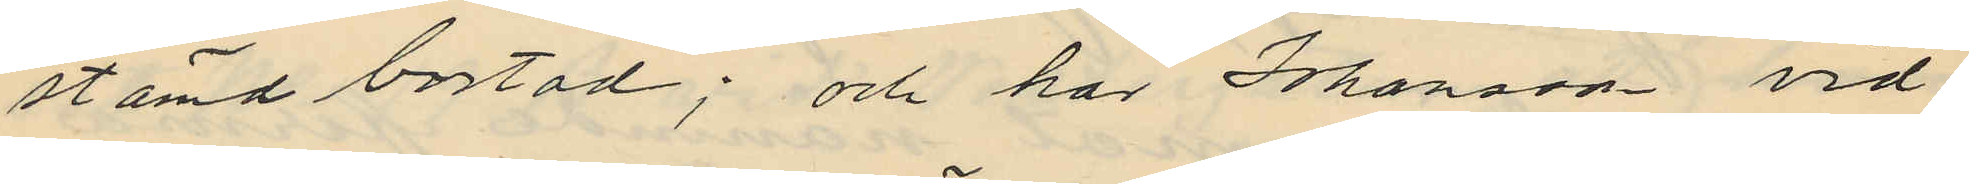stämd bostad; och har Johanson vid
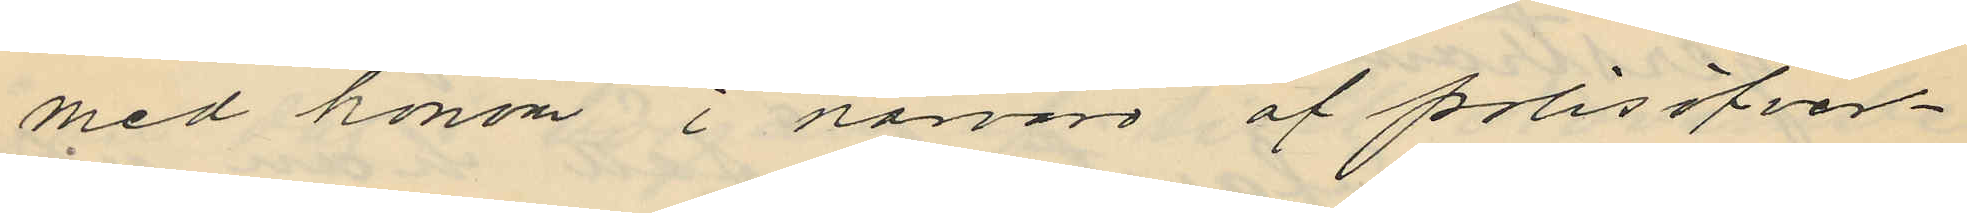med honom i närvaro af polisöfver¬
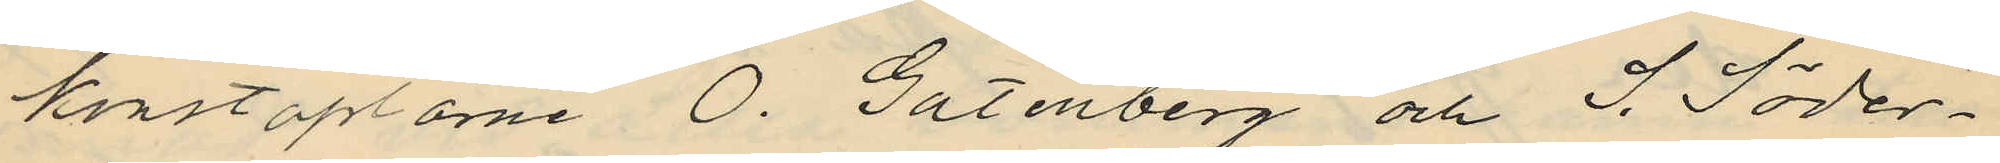konstaplarne O. Gutenberg och S. Söder¬
